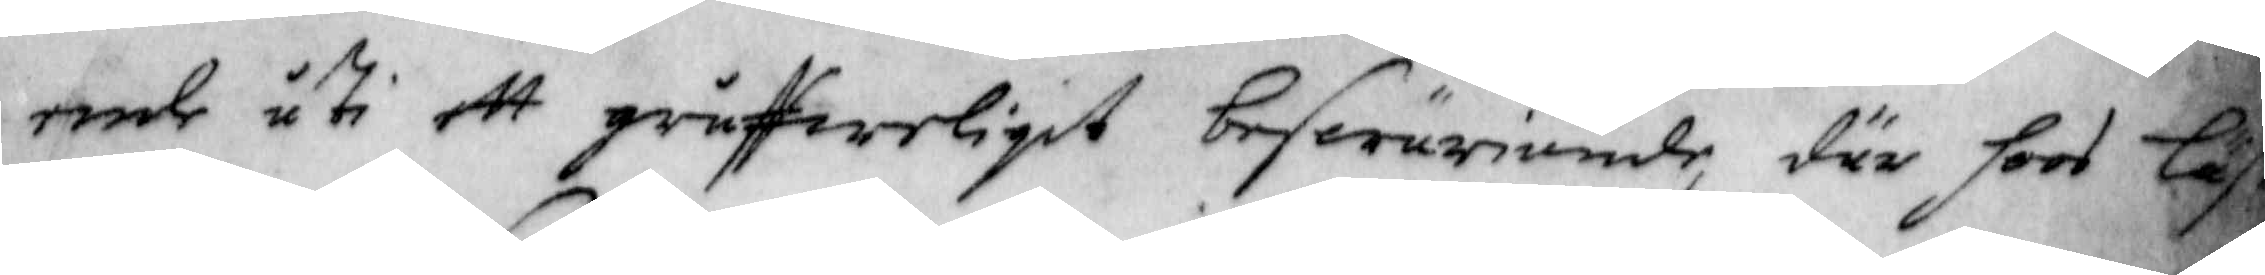ende uti ett gruffweligit beswäriande, där hoos läse
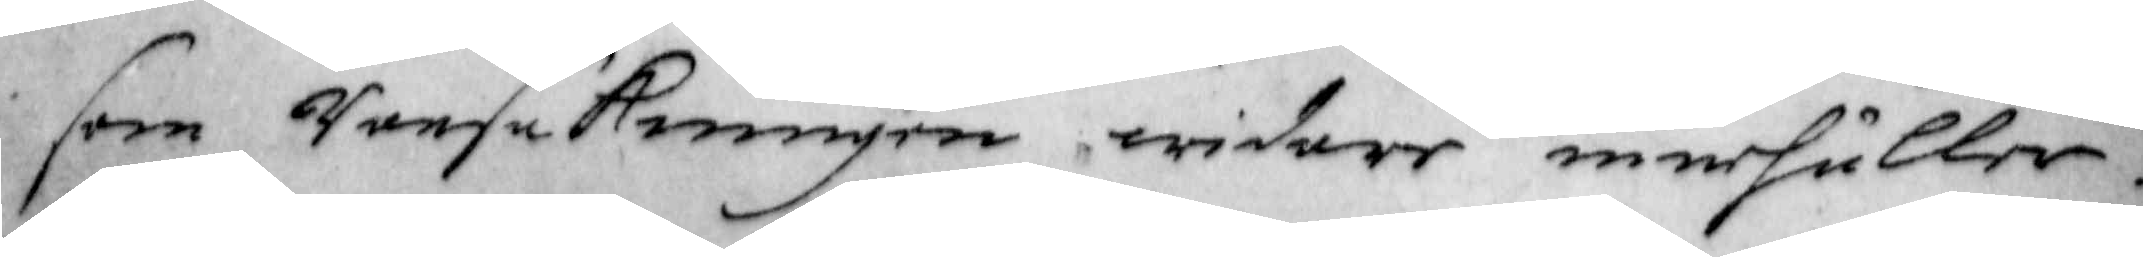som ransakningen widare innehåller.
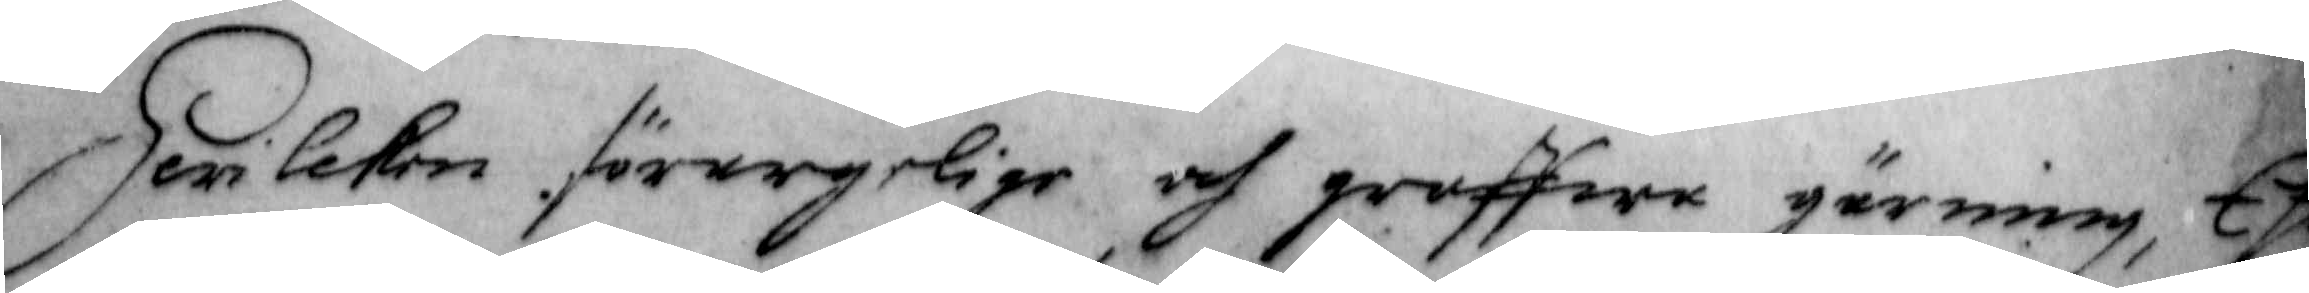Hwilken förargelige och groffwa gärning, Ehur¬
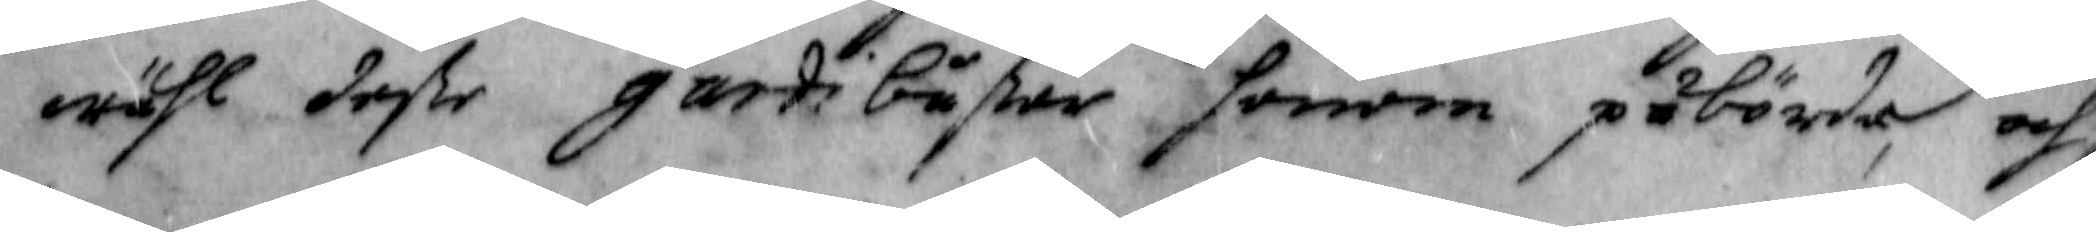wähl deVe gardiguVar honom påbörda och
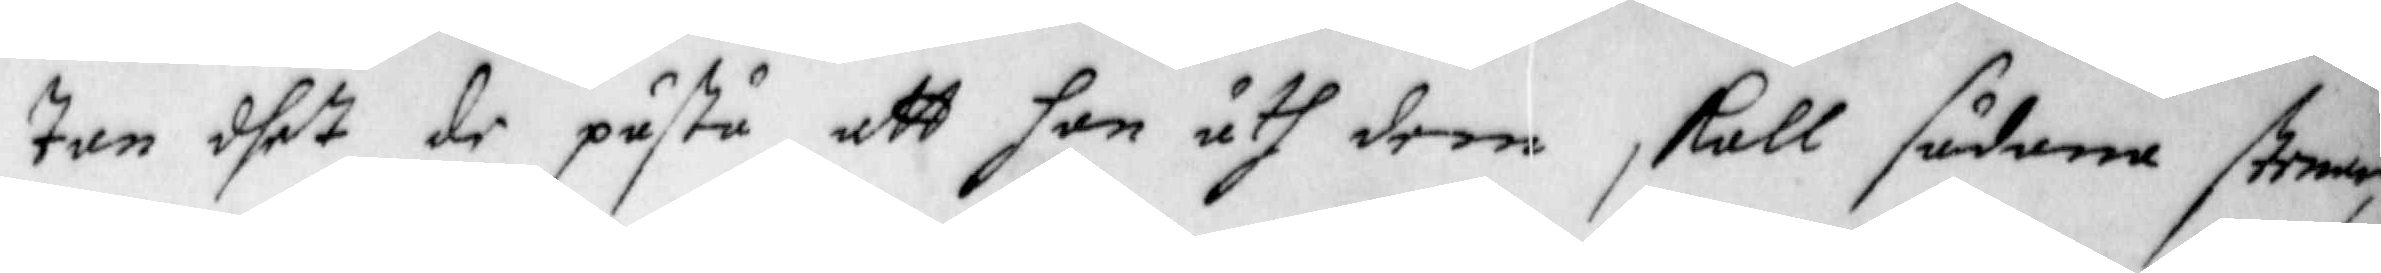tan dhet de påstå att han åth dem skall sådana stenar,
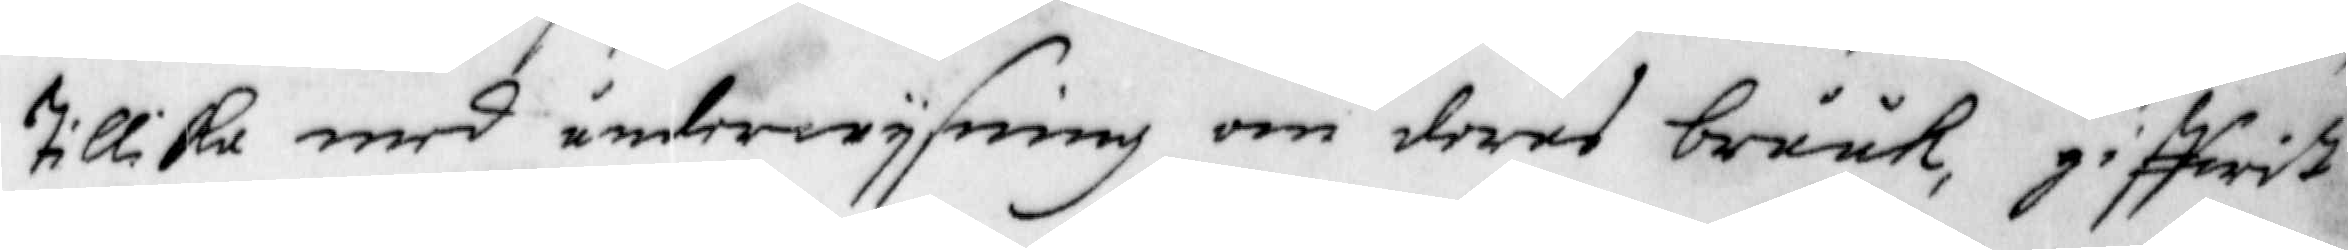tillika med underwijsning om deras bruuk, giffwit
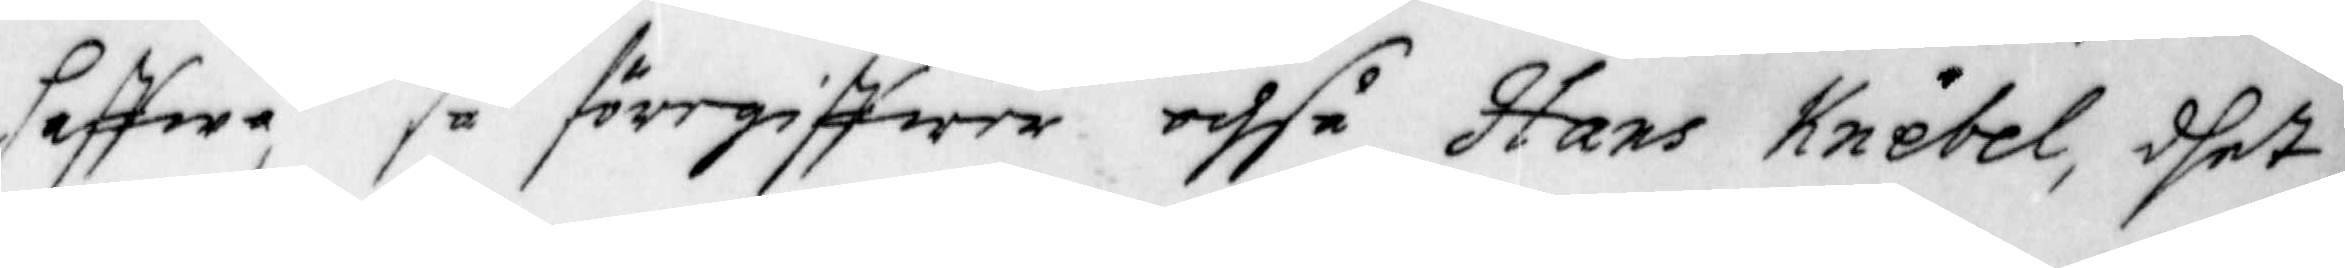haffwa, så föregiffwer ochså Hans Knebel, dhet
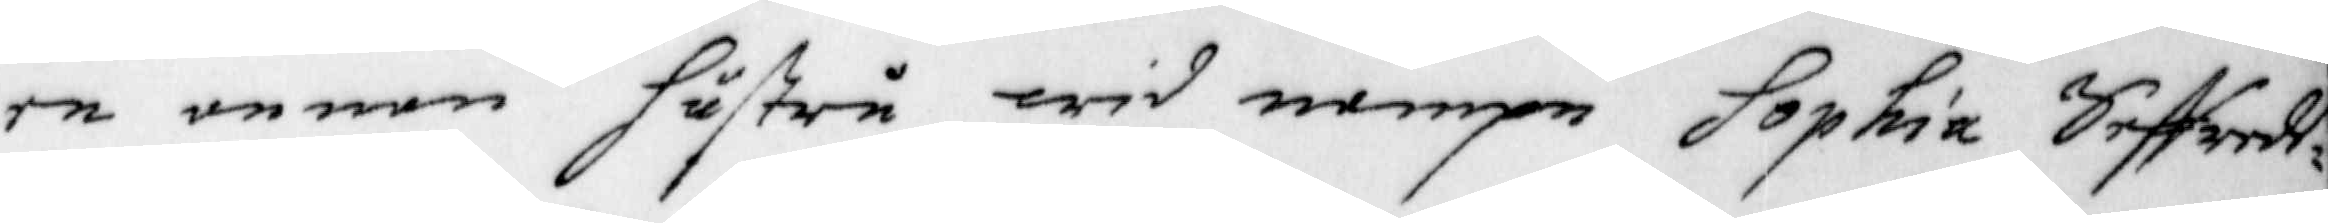en annan hustru wid nampn Sophia Seffreds¬
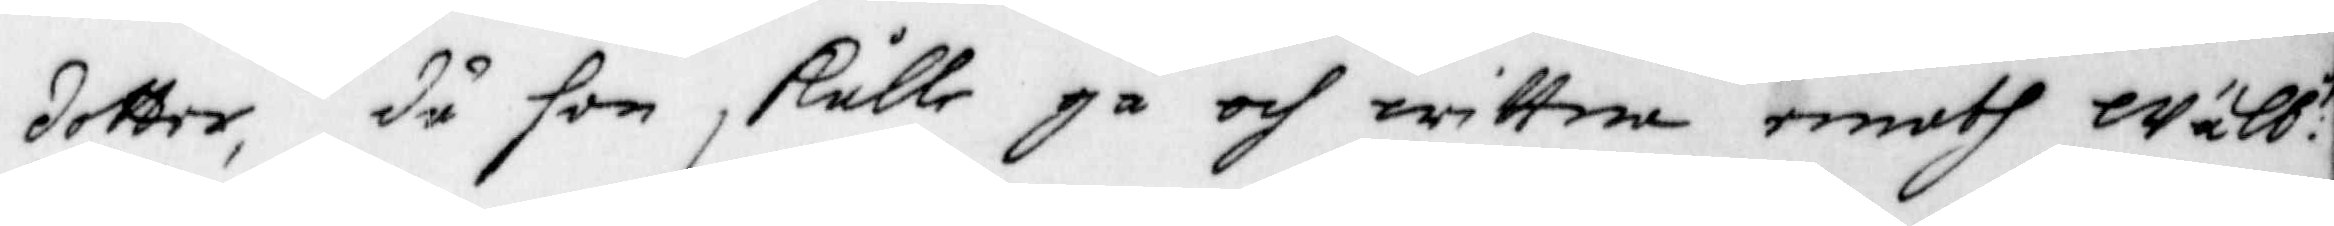dotter, då hon skulle gå och wittna emoth Wälb:e
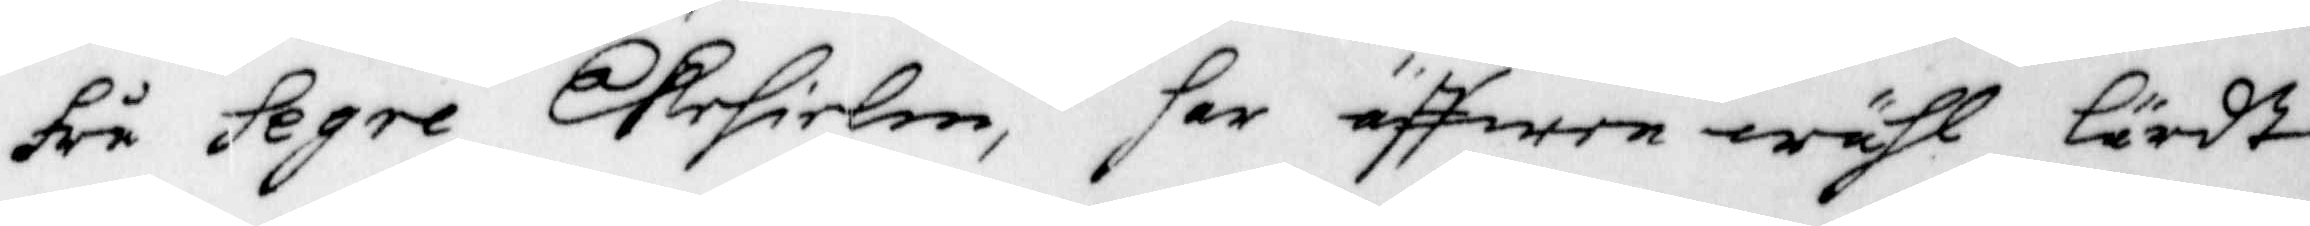Fru Segre Ekehielm, har äffwen wähl Lärdt
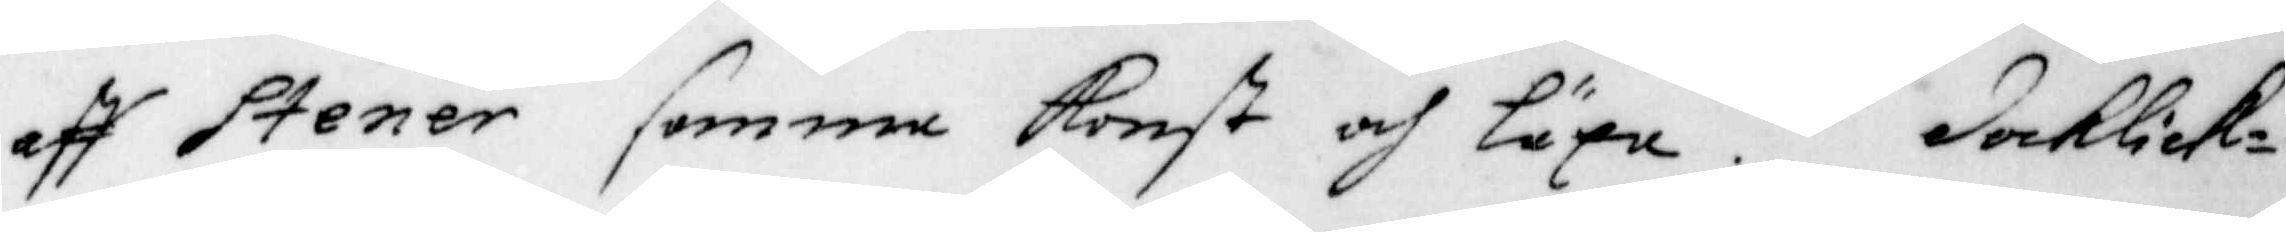aff Stener samma Konst och Läxa. Docklick¬
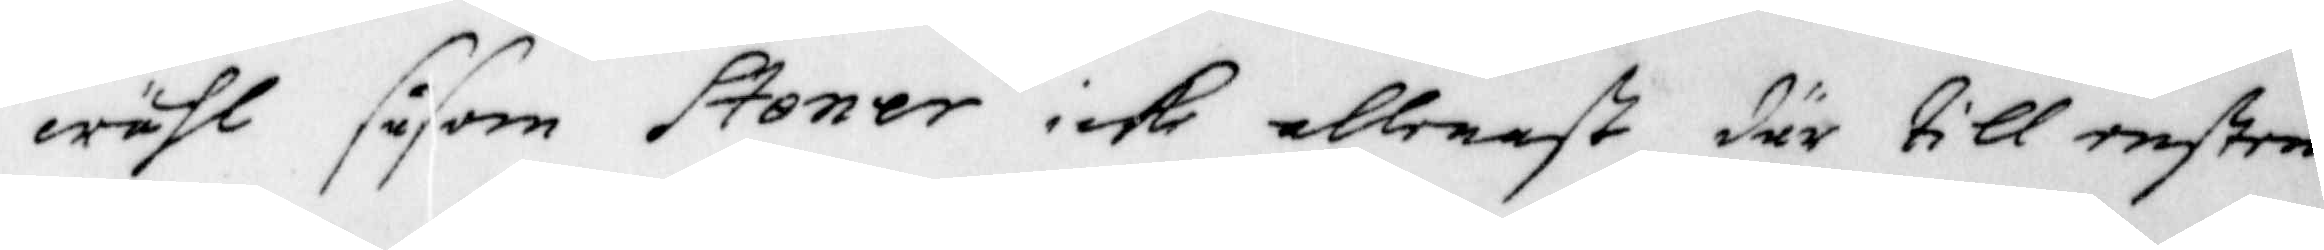wähl såsom Stener icke allenast där till ensten¬
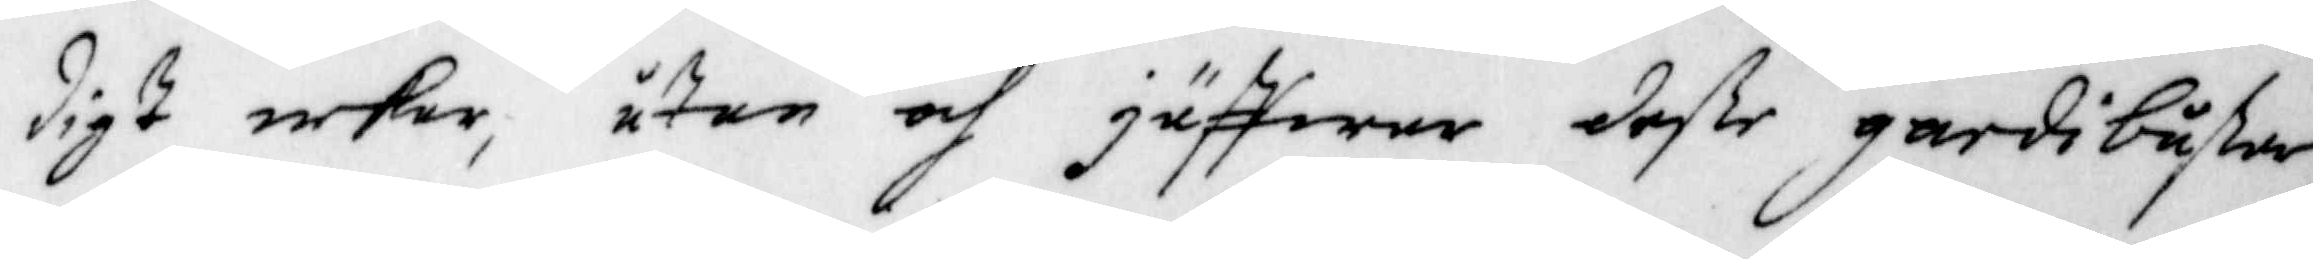digt nekar, utan och jäffwar deße gardi bußer
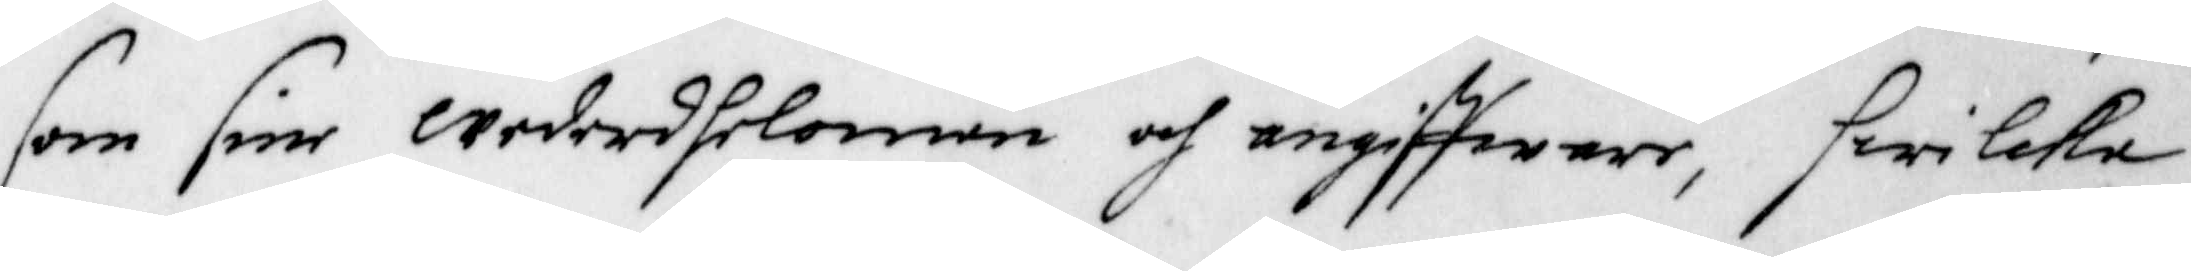som sine Wederdhelomän och angiffware, hwilcka
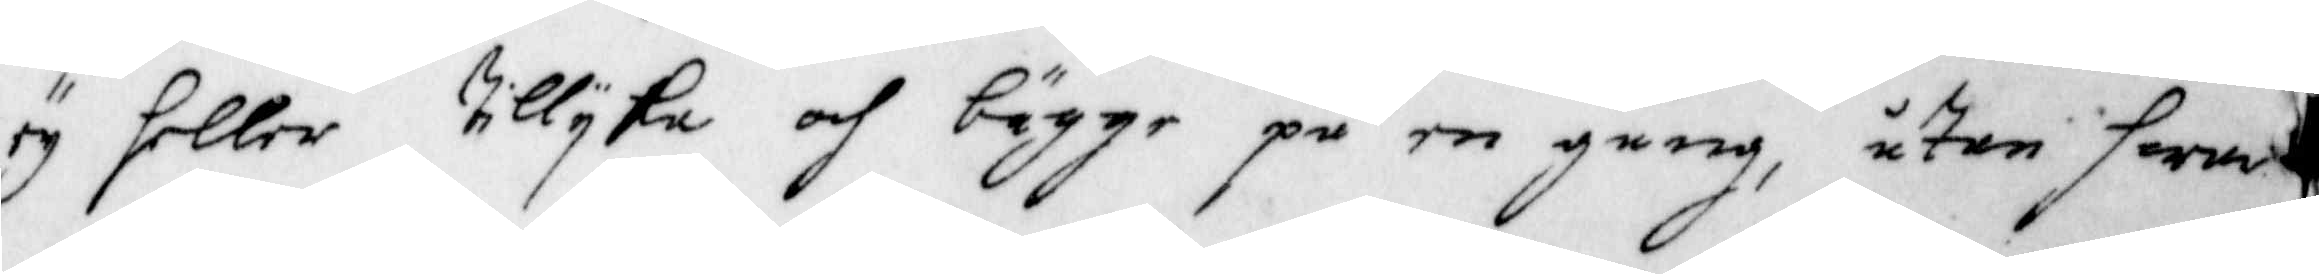ey heller tillijka och bägge på en gång, utan hwar
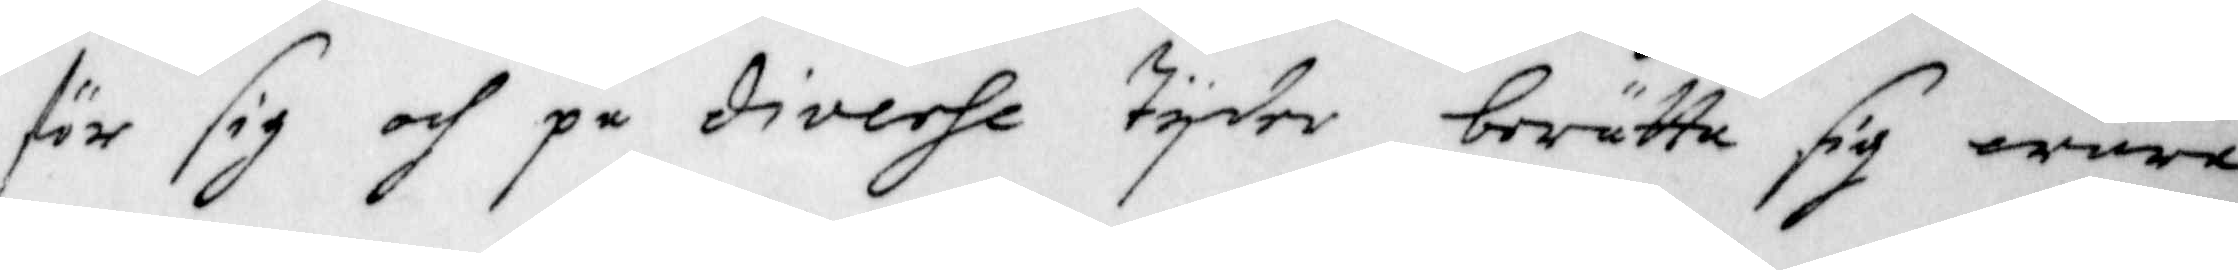för sig och på diverse tijder berätta sig wara
